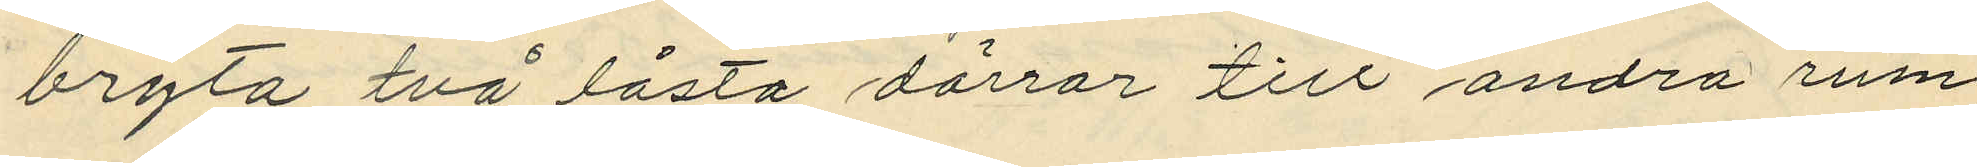bryta två låsta dörrar till andra rum,
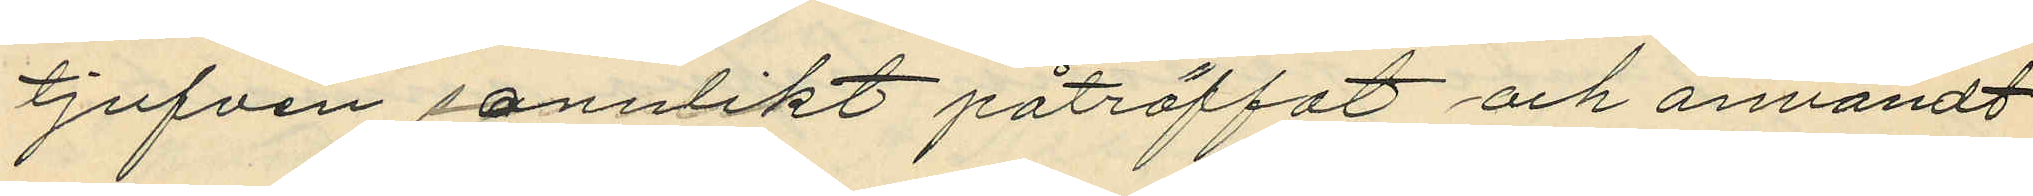tjufven sannolikt påträffat och användt
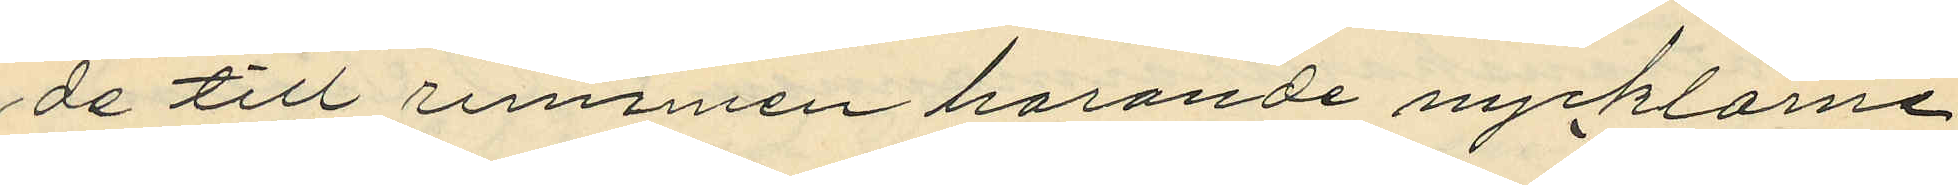de till rummen horande nycklarne,
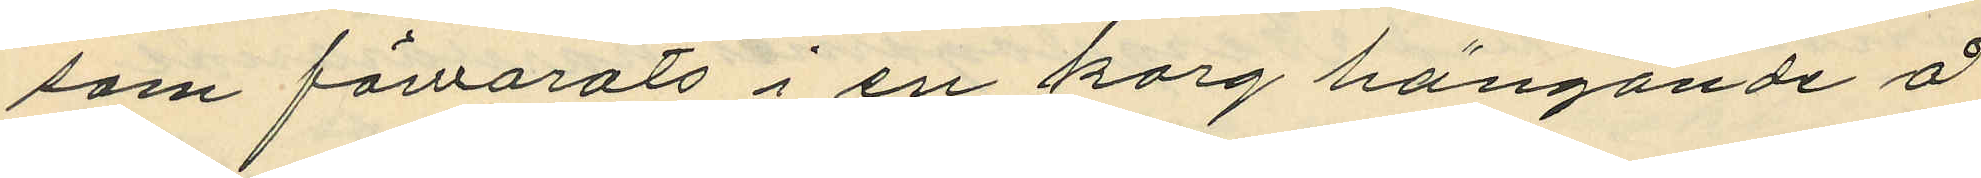som förvarats i en korg hängande å
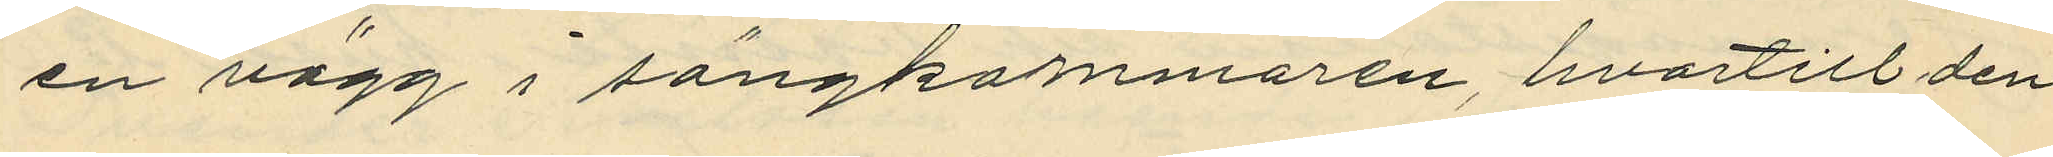en vägg i sängkammaren, hvartill den
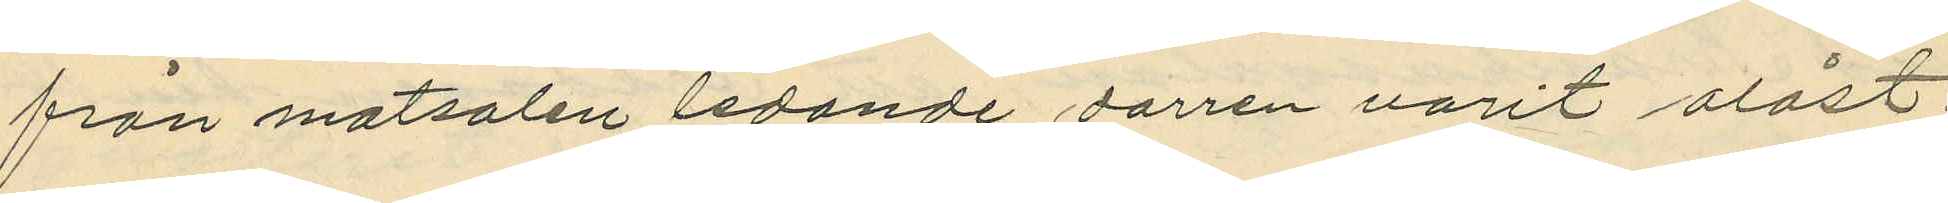från matsalen ledande dorren varit olåst;
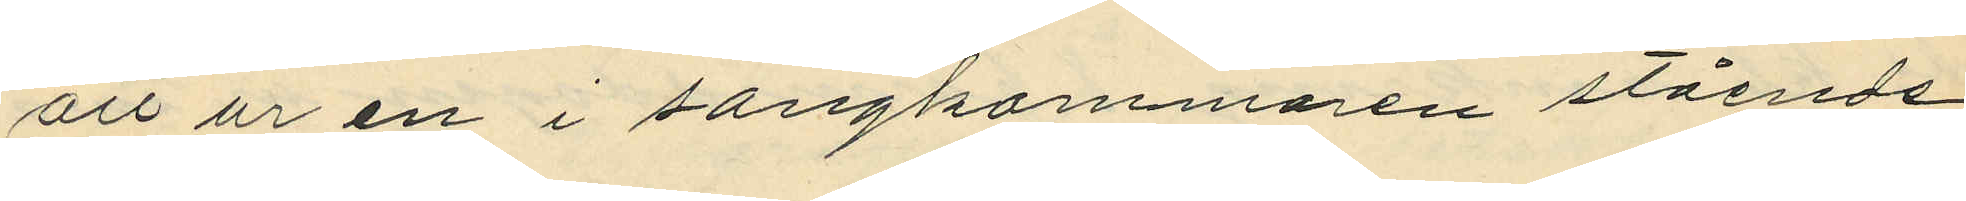att ur en i sängkammaren stående
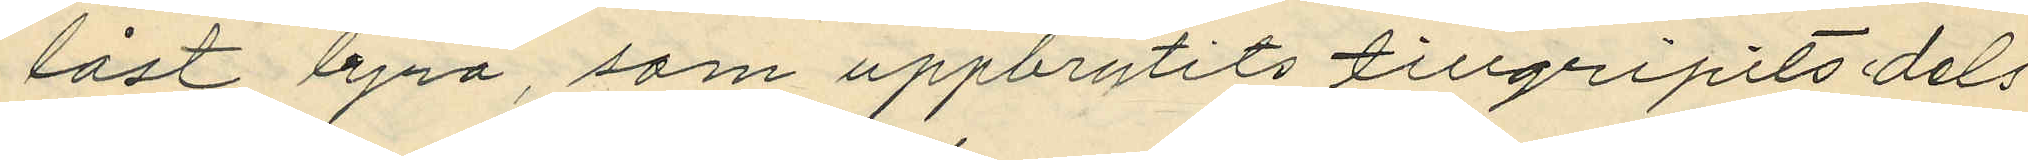låst byrå, som uppbrutits tillgripits dels
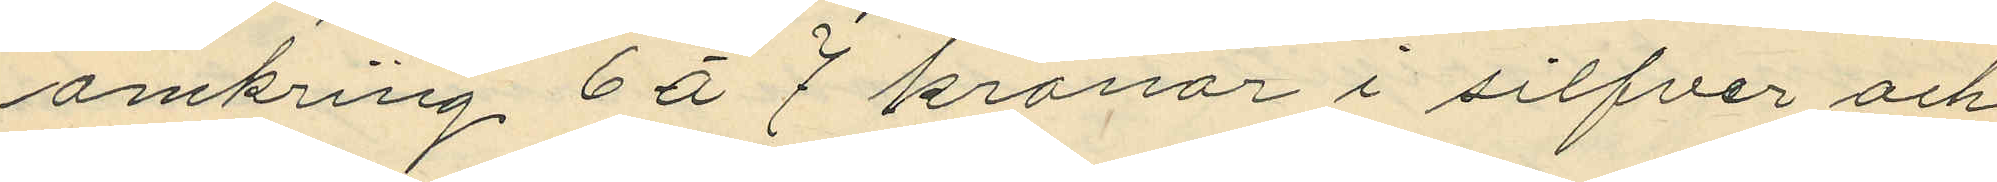omkring 6 á 7 kronor i sifvermynt och
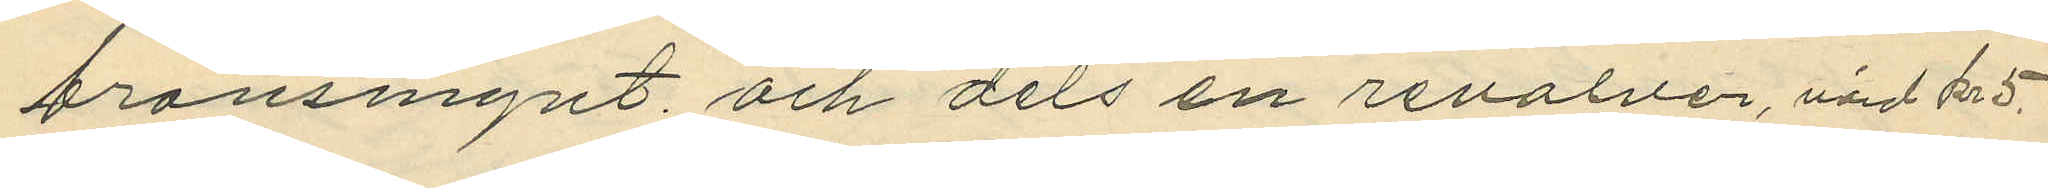bronsmynt och dels en revolver, värd kr 5.
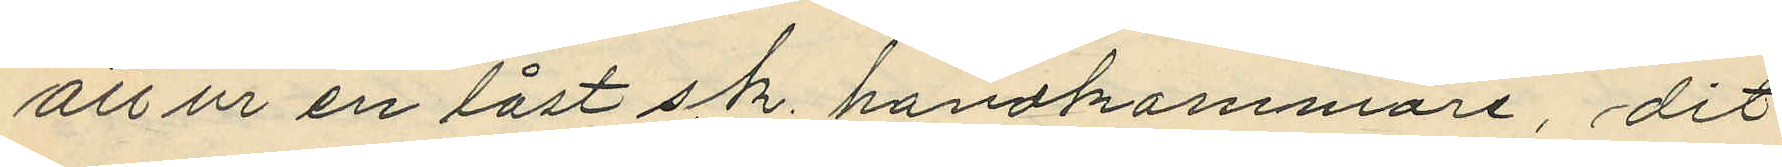att ur en låst s.k. handkammare, dit
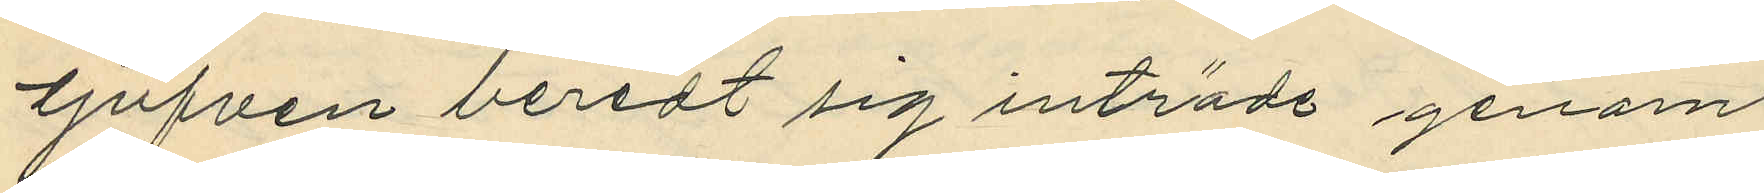tjufven beredt sig inträde genom
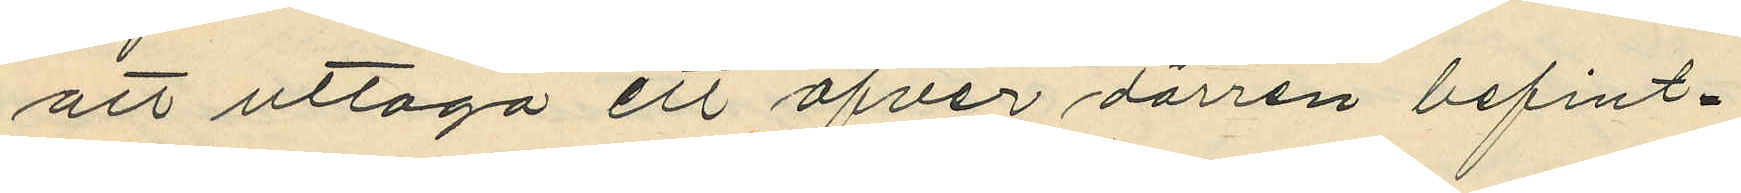att uttaga ett öfver dörren befint¬
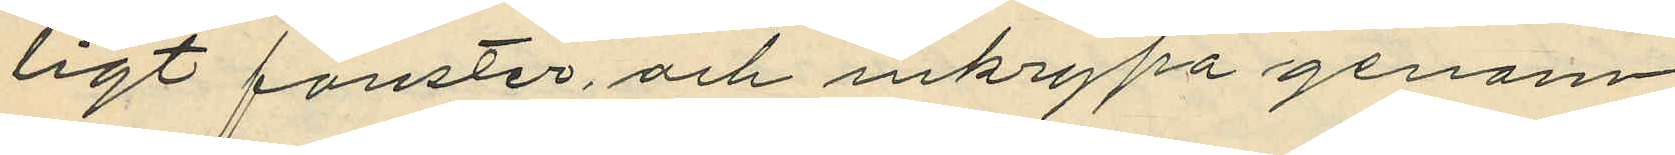ligt fönster och inkrypa genom
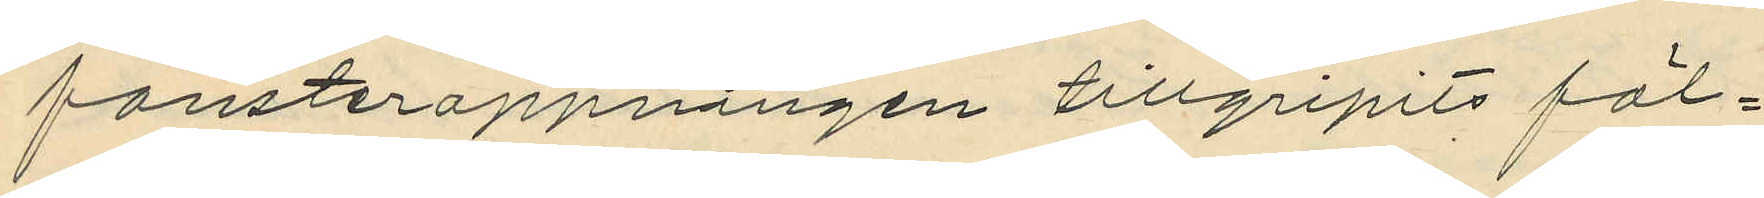fönsteröppningen tillgripits föl¬
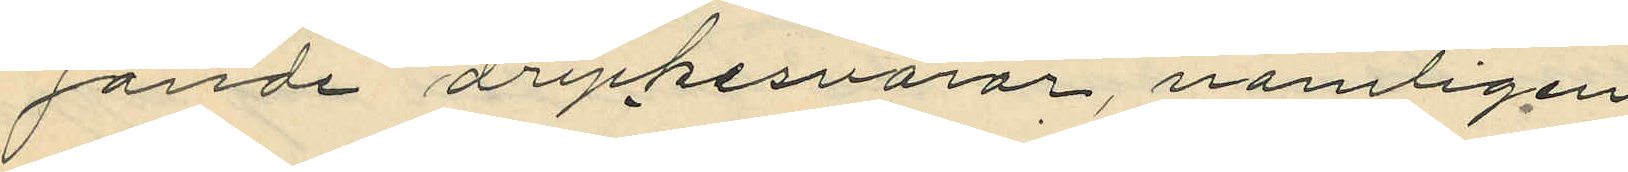jande drycksvaror, nämligen
